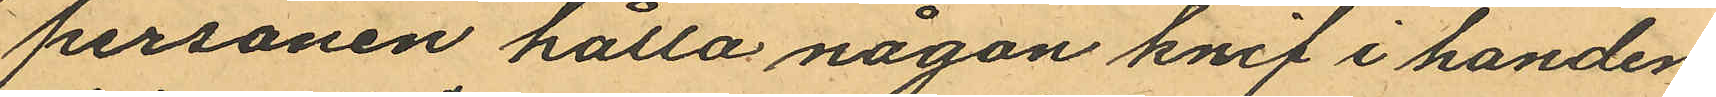personen hålla någon knif i handen
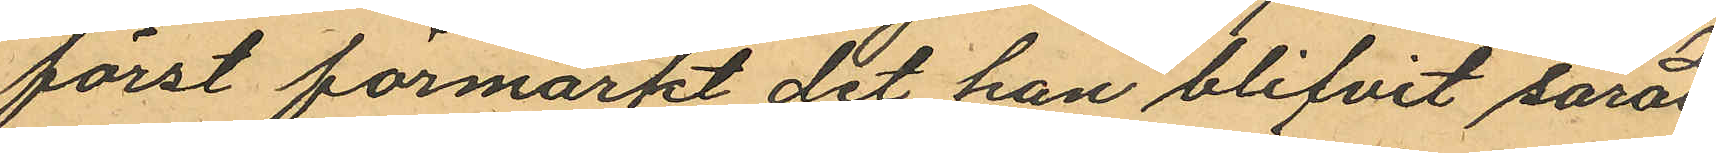först förmärkt det han blifvit sårad
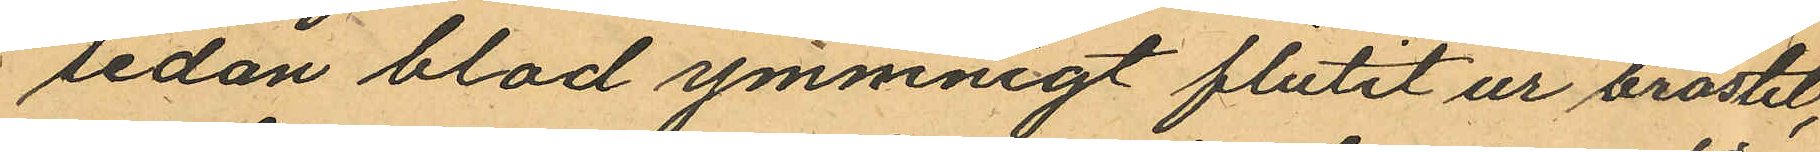sedan blad ymmnigt flutit ur bröstet,
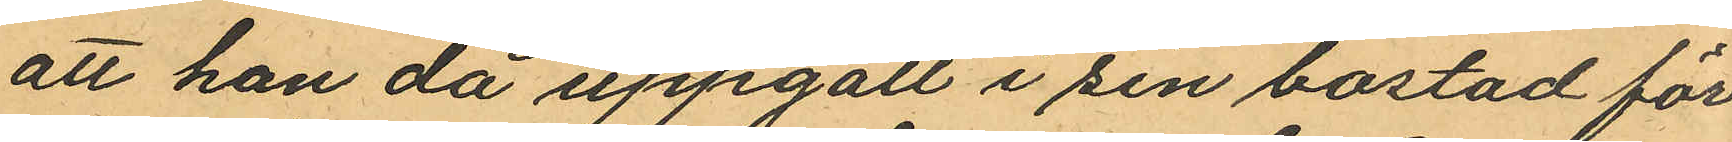att han då uppgått i sin bostad för
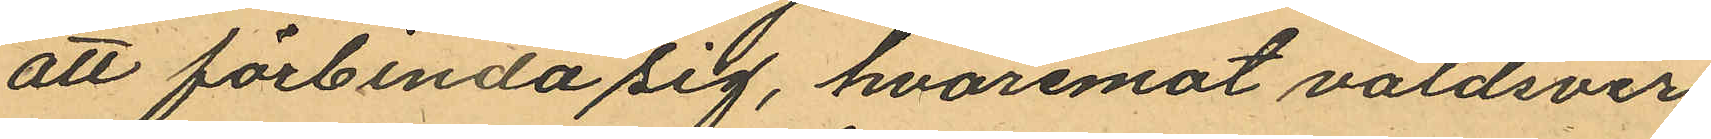att förbinda sig, hvaremot våldsver¬
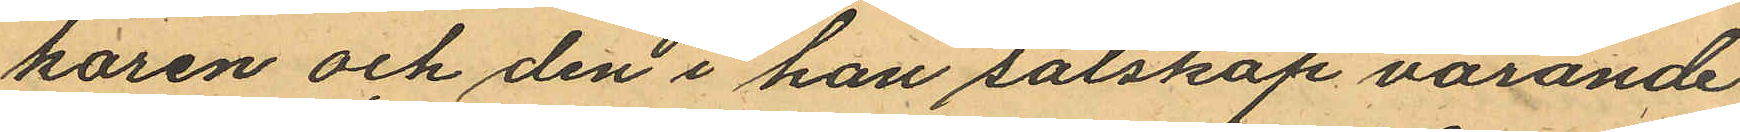karen och den i han salskap varande
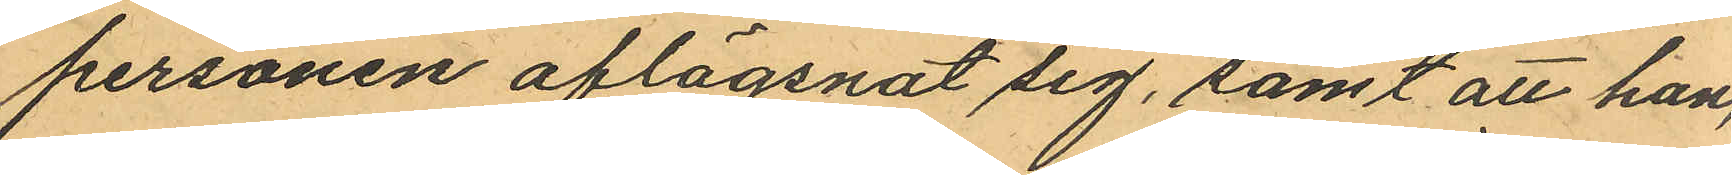personen aflägsnat sig, samt att han,
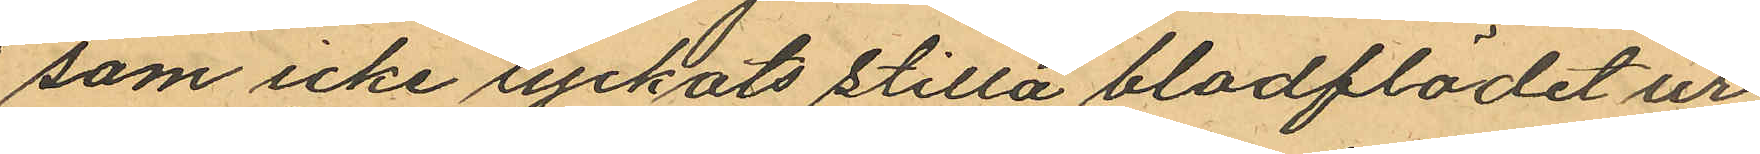som icke lyckats stilla bladflödet ur
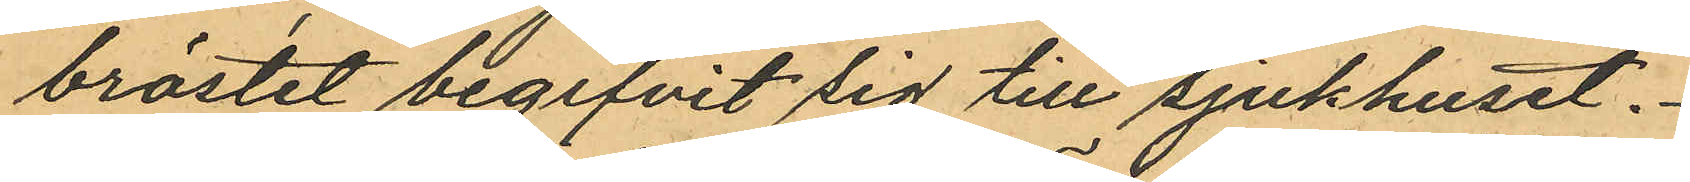bröstet begifvit sig till sjukhuset.
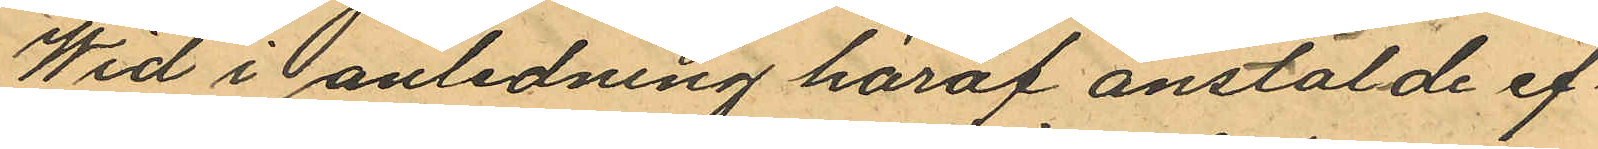Wid i anledning häraf anstälde ef¬
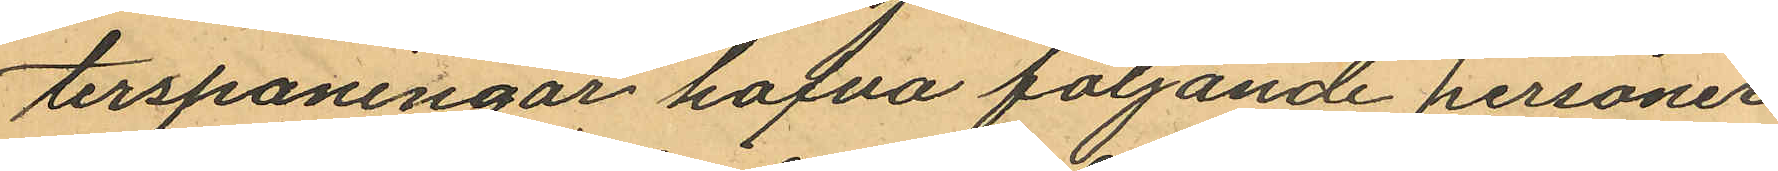terspaningar hafva följande personer
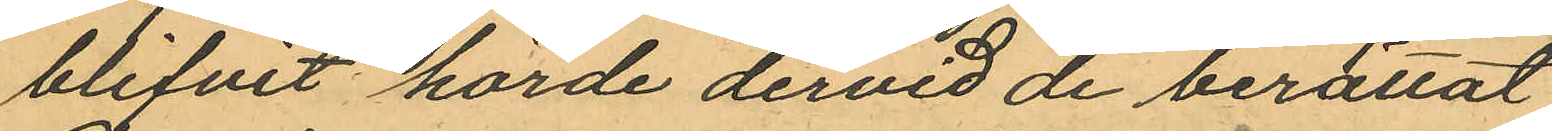blifvit hörde dervid de berättat
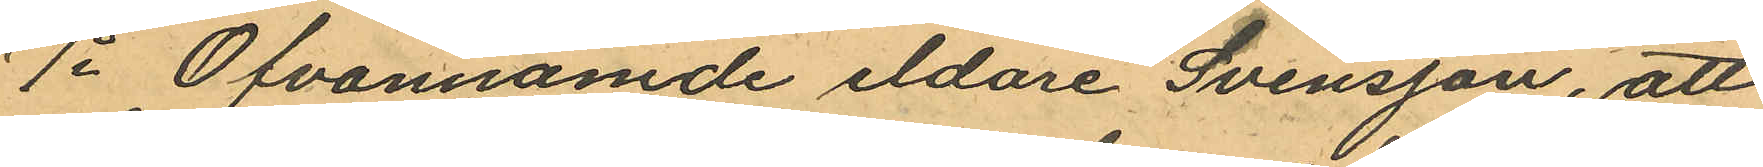1o Ofvannämde eldare Svensson, att
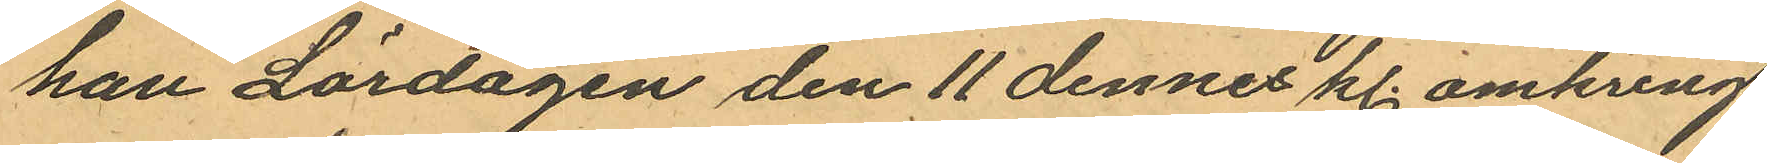han Lördagen den 11 dennes kl. omkring
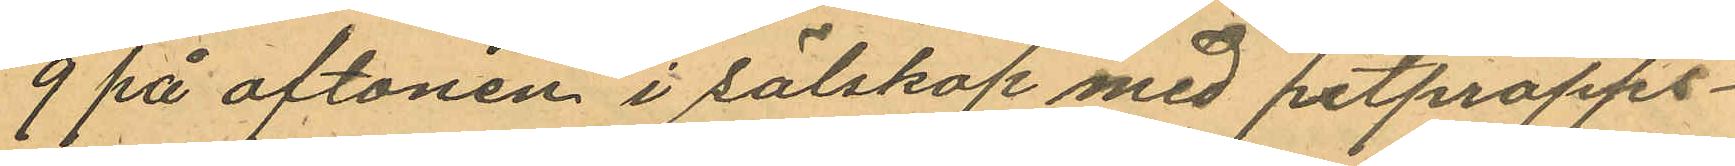9 på aftonen i sälskap med pitpropps¬
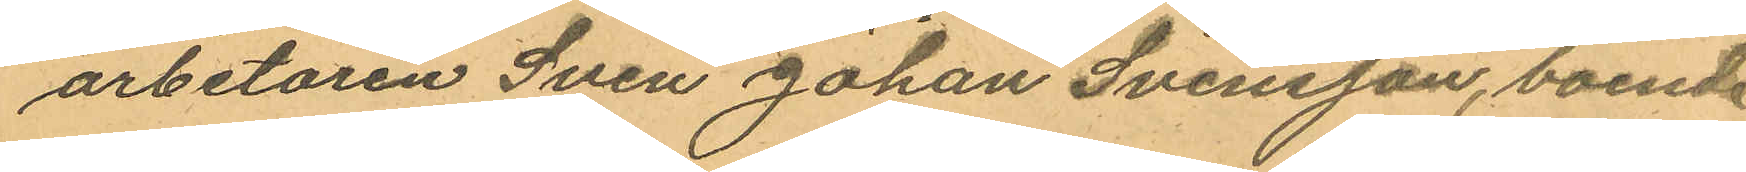arbetaren Sven Johan Svensson, boende
